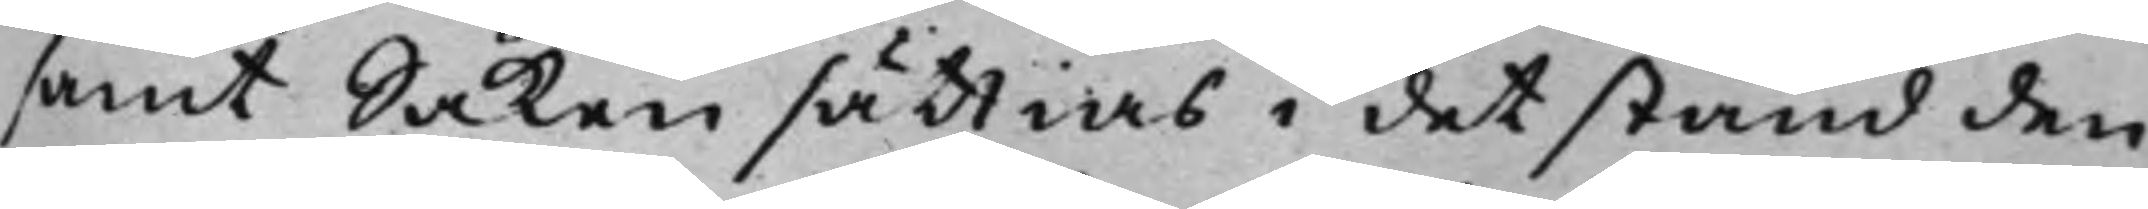samt Saken sättias i det stånd den
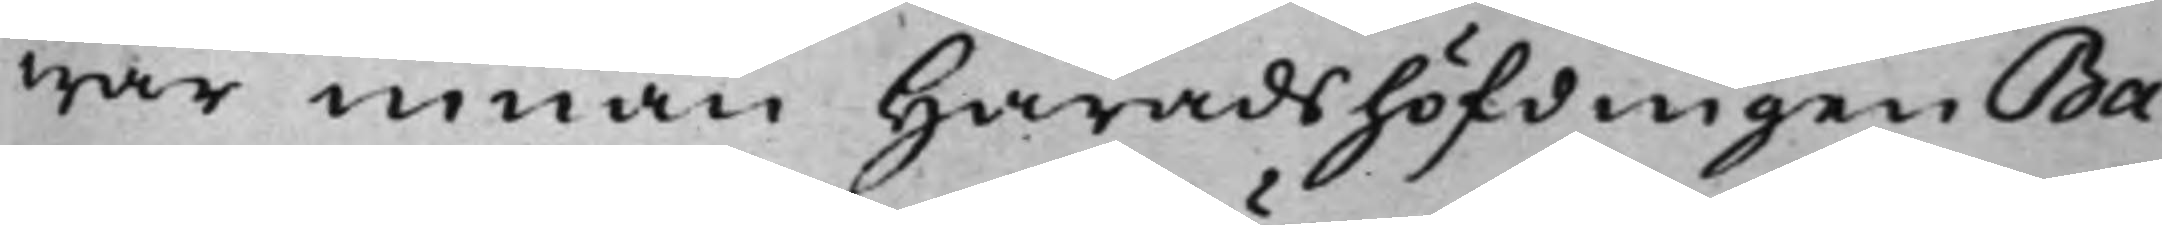war innan Häradshöfdingen Ba¬
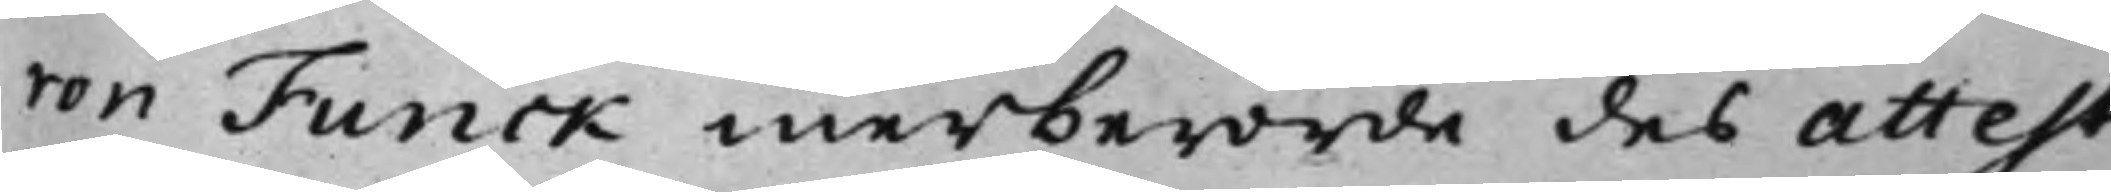ron Funck merberörde des Attest
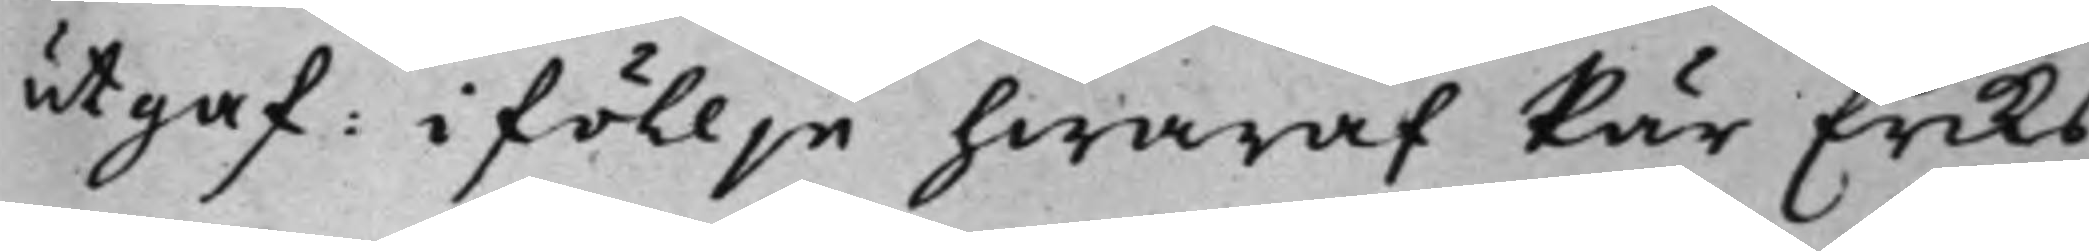utgaf: i föllje hwaraf Pär Eriks¬
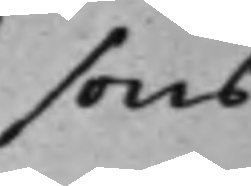sons
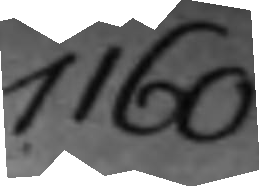1160.
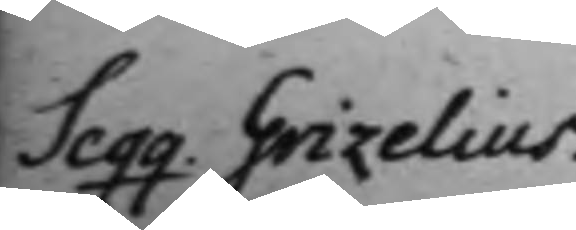Seqq Grizelius.
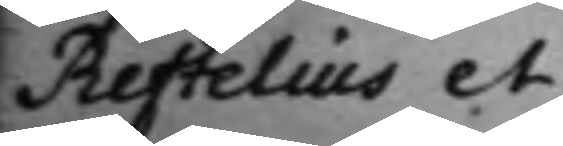Reftelius et
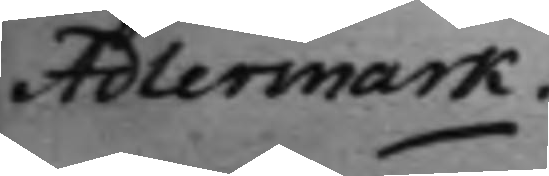Adlermark.
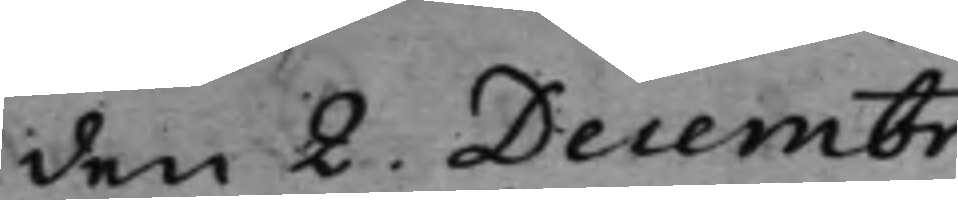den 2. Decembr.
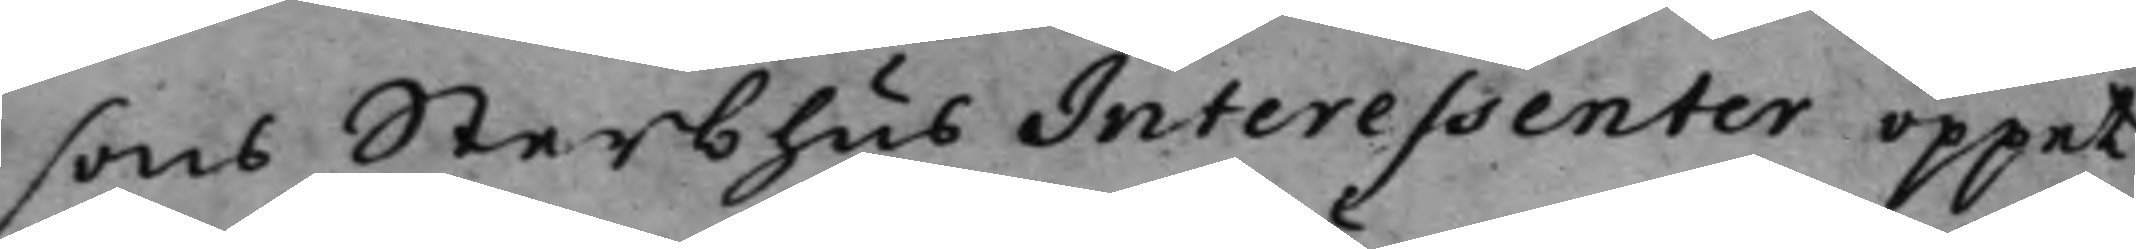sons Sterbhus Interessenter öppet
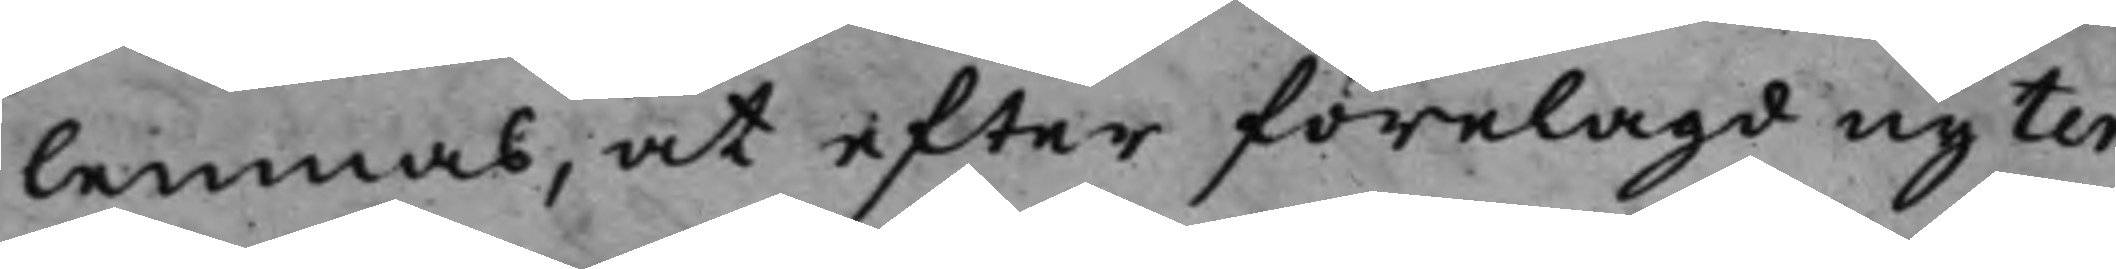lemnas, at efter förelagd ny ter¬
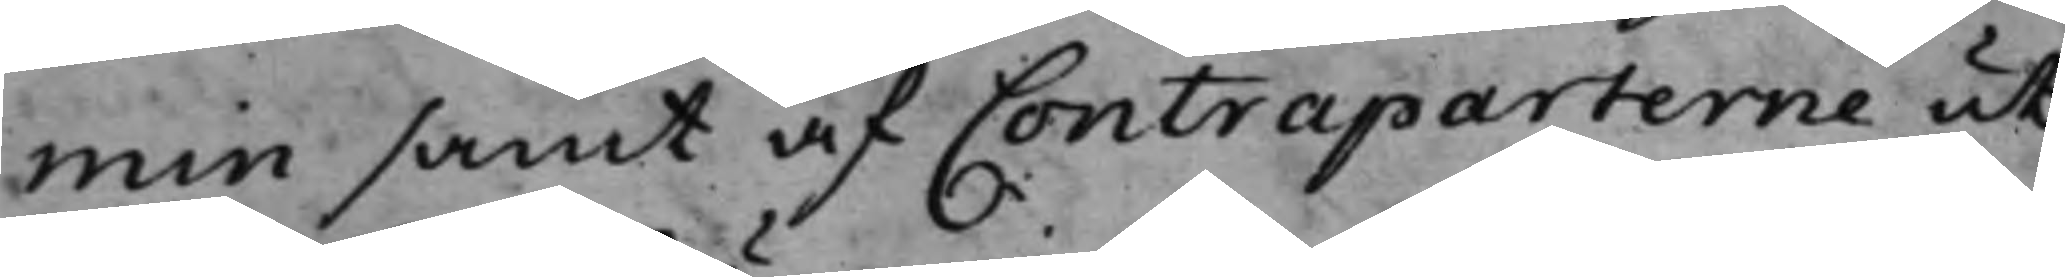min samt af Contraparterne ut¬
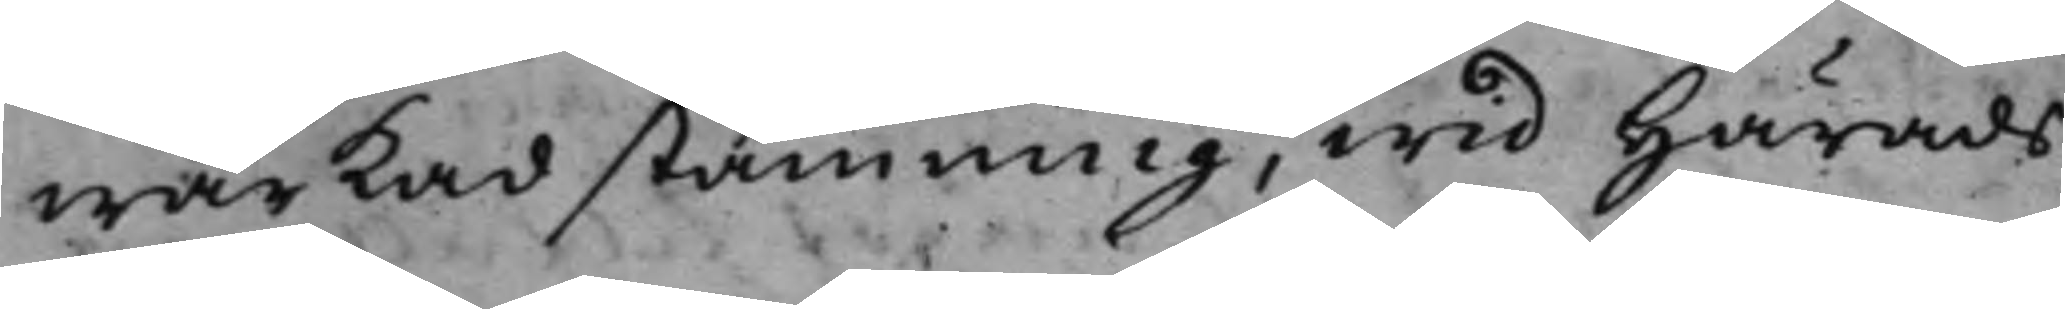wärkad stämning, wid Härads¬
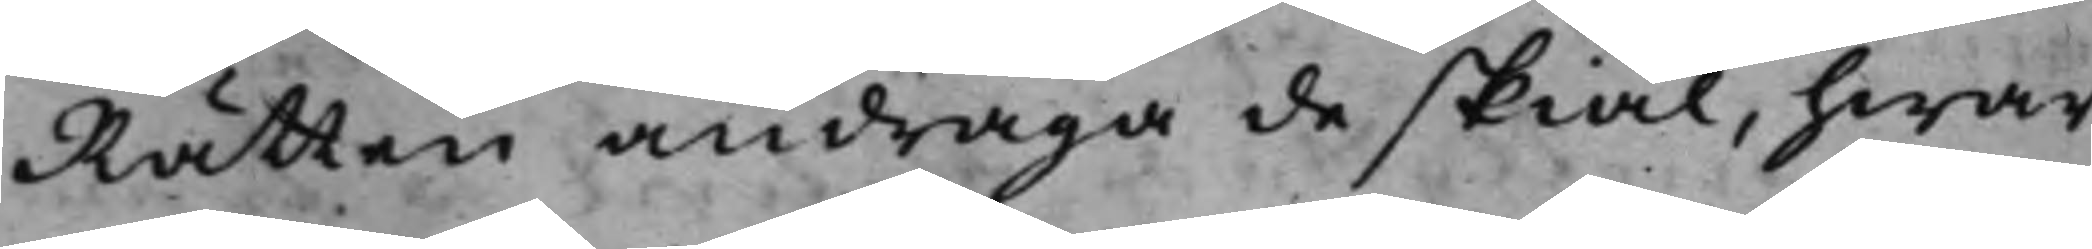Rätten andraga de skiäl, hwar¬
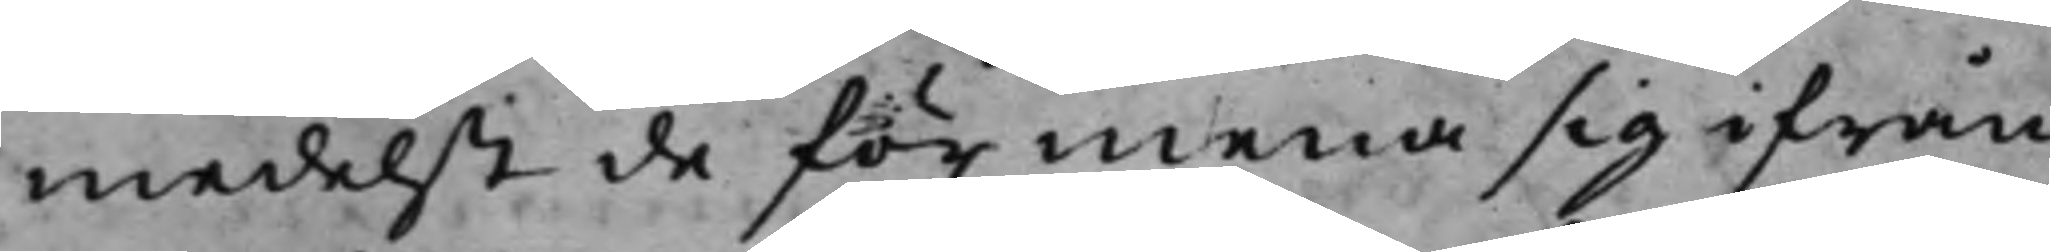medelst de förmena sig ifrån
